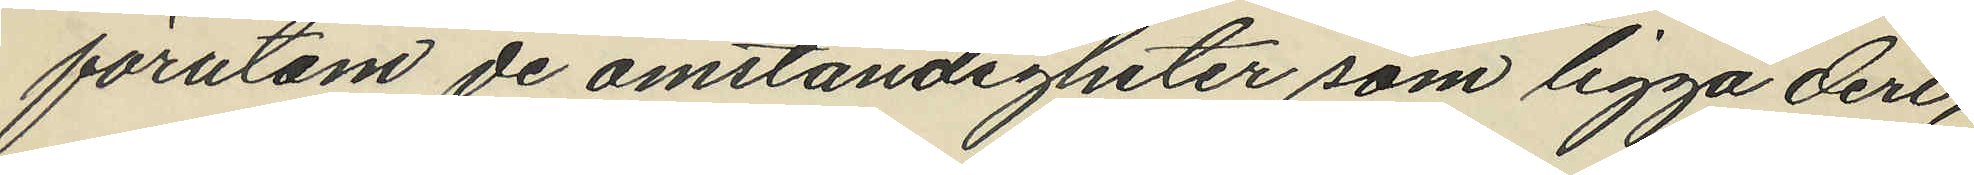förutom de omständigheter som ligga deri,
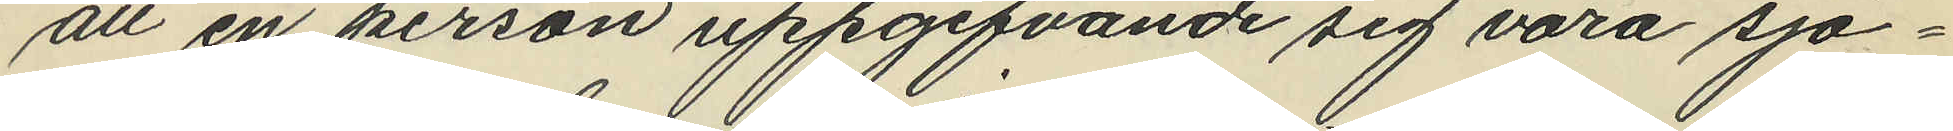att en person uppgifvande sig vara sjö¬
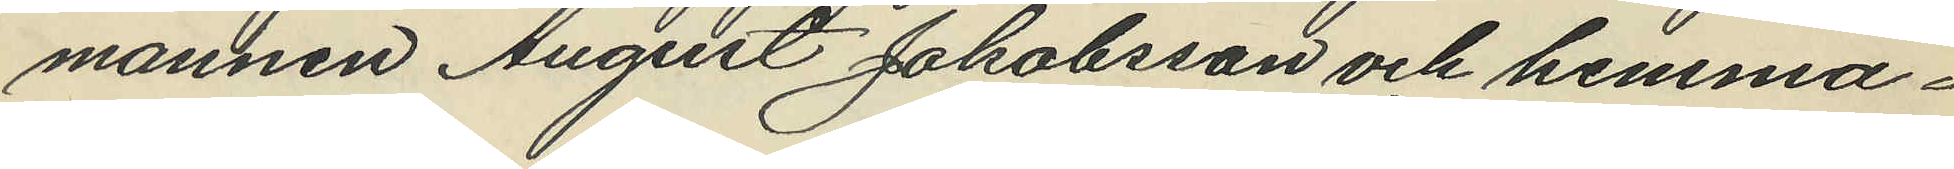mannen August Jakobsson och hemma¬
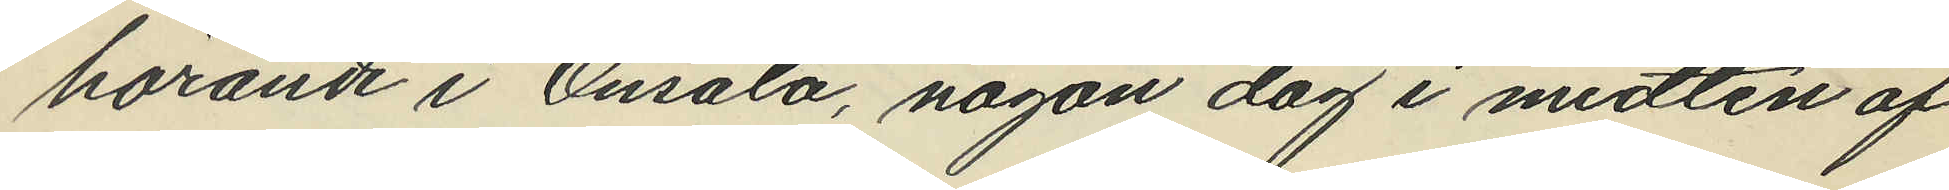hörande i Onsala, någon dag i midten af
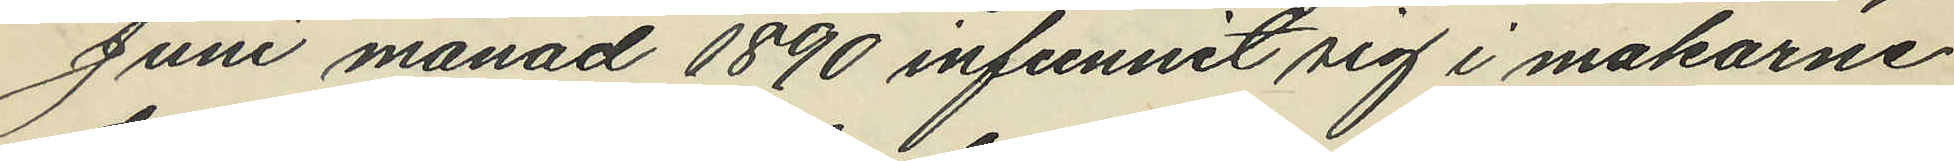Juni månad 1890 infunnit sig i makarne
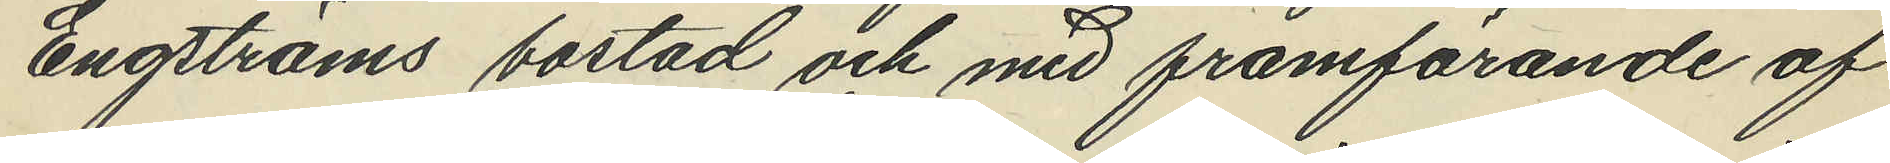Engströms bostad och med framförande af
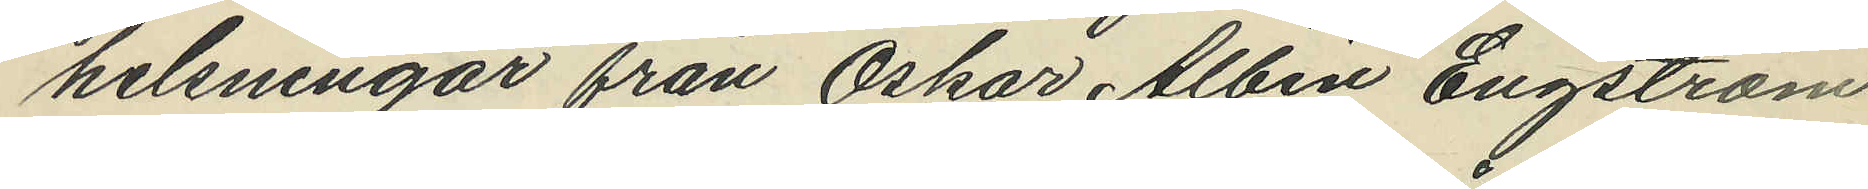helsningar från Oskar Albin Engström
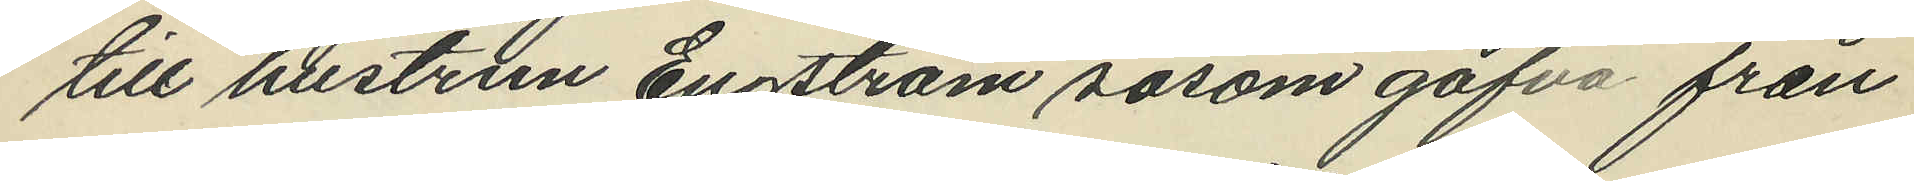till hustrun Engström såsom gåfva från
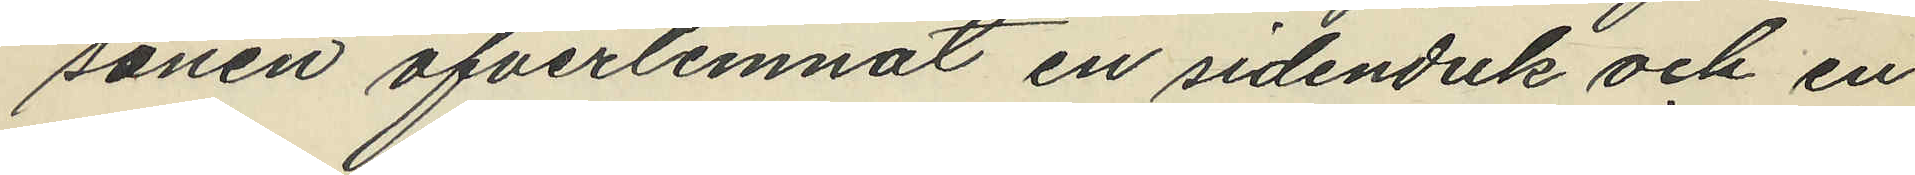sonen öfverlemnat en sidenduk och en
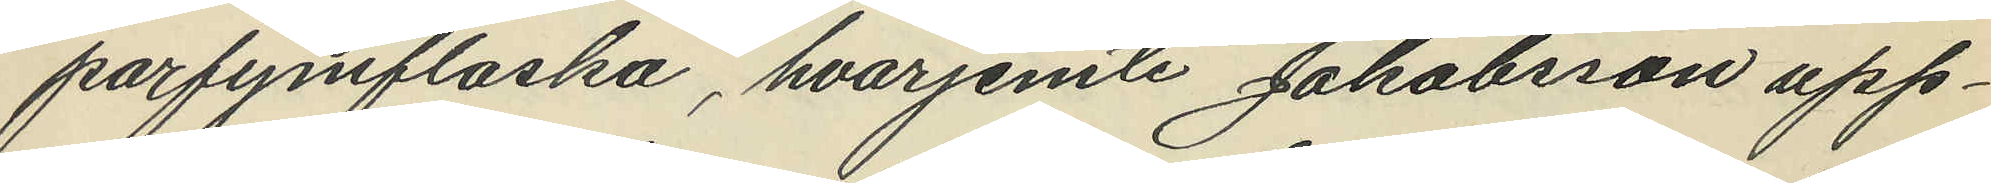parfymflaska, hvarjemte Jakobsson upp¬
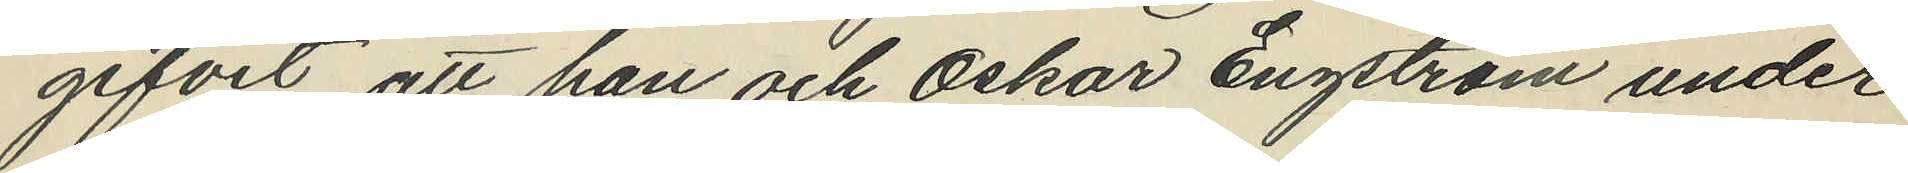gifvit att han och Oskar Engström under
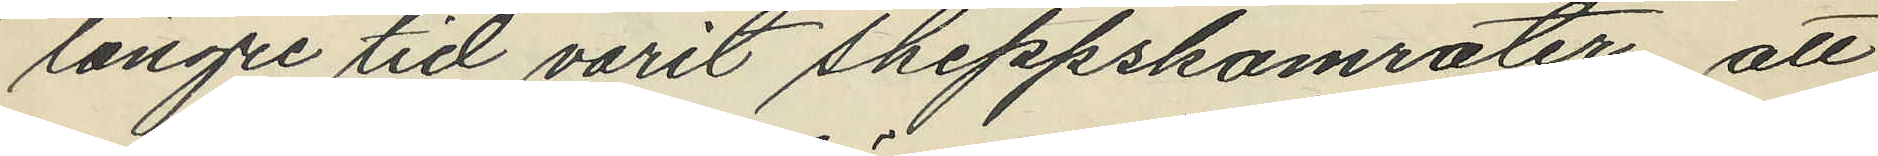längre tid varit skeppskamrater, att
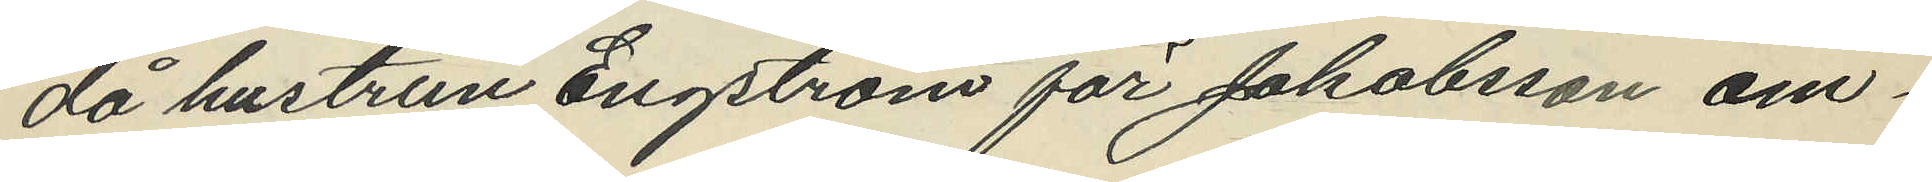då hustrun Engström för Jakobsson om¬
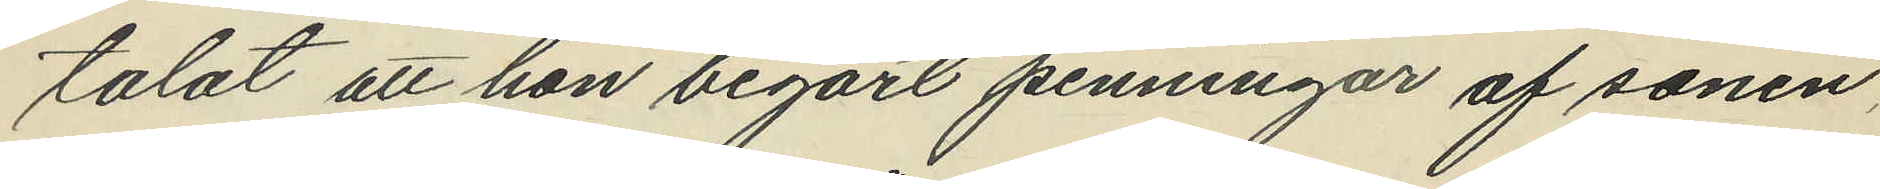talat att hon begärt penningar af sonen,
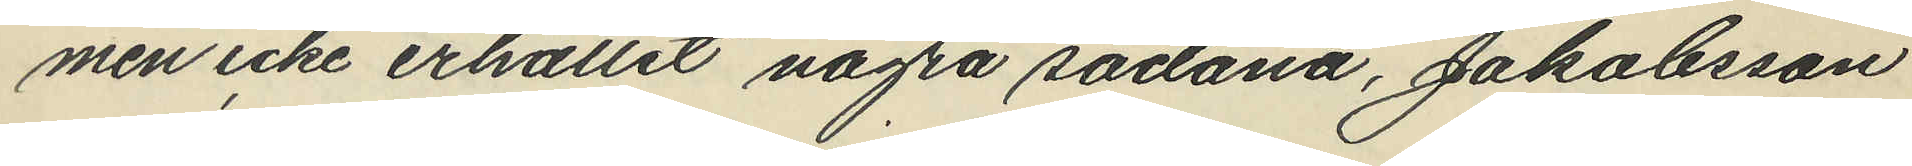men icke erhållit några sådana, Jakobsson
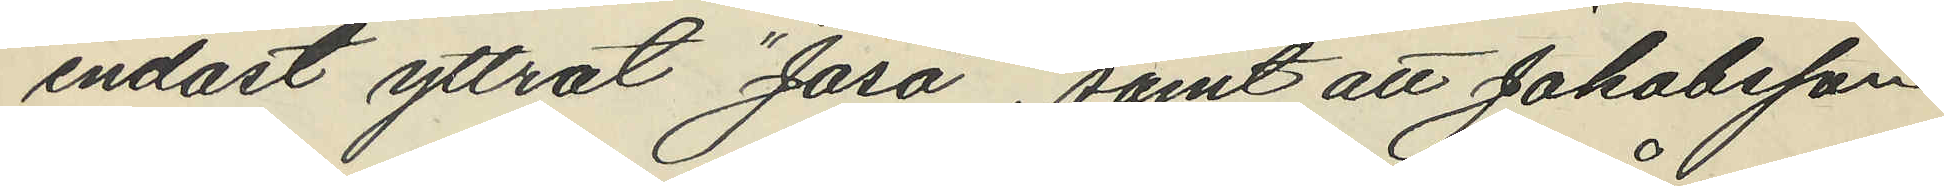endast yttrat "Jaså", samt att Jakobsson
